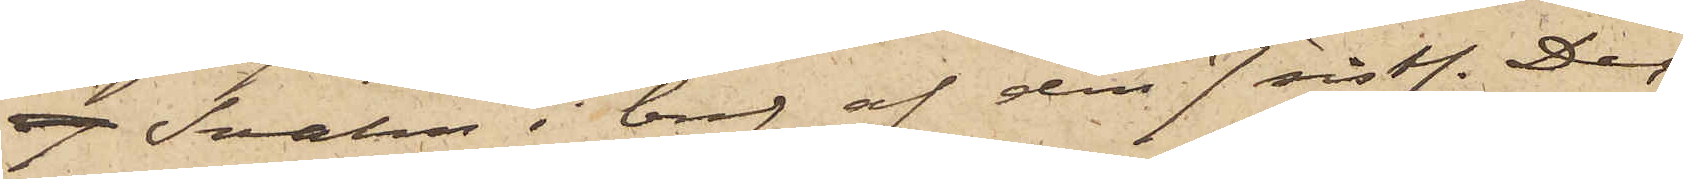7 Svahn i bref af den 7 sist. Dec
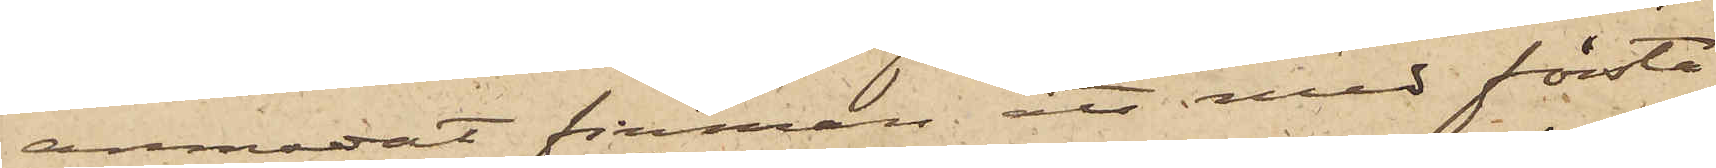anmodat firman att med första
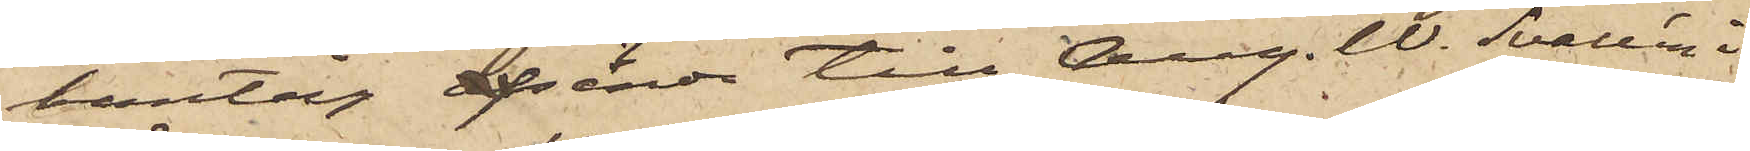bantåg afsända till Aug. W. Svallén i
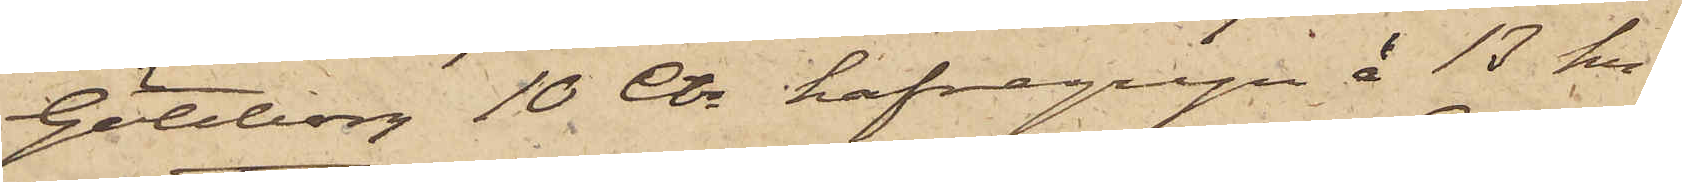Göteborg 10 Ctr hafregryn à 13 kr
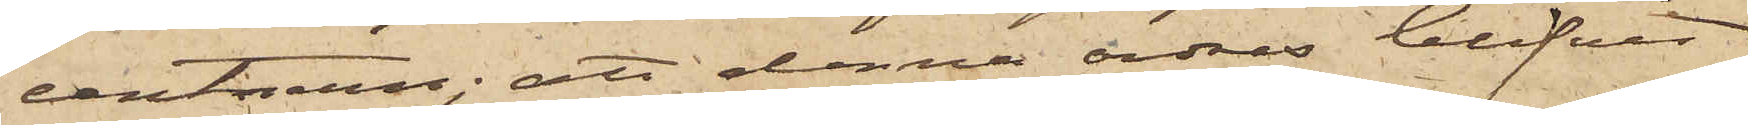centnern; att denna order blifvit
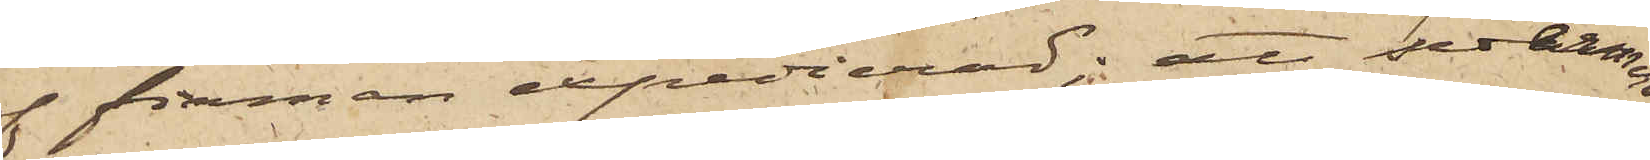af firman expedierad; att sedermera
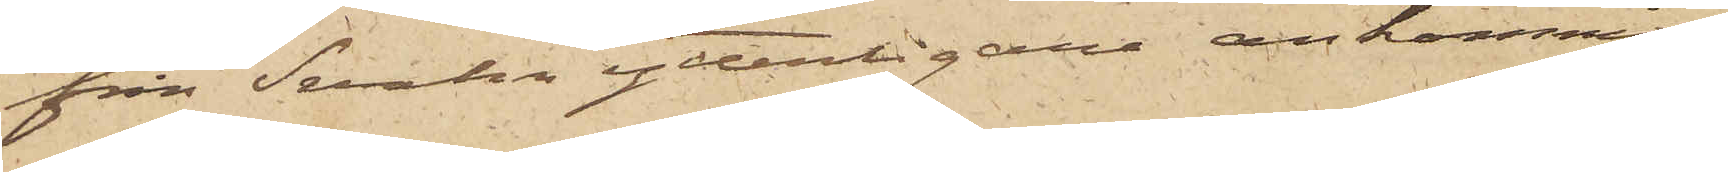från Svahn ytterligare ankommit
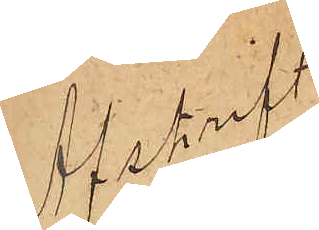Afskrift
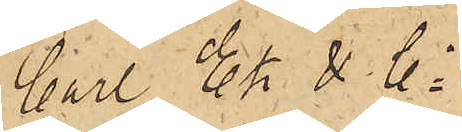Carl Ek & Co
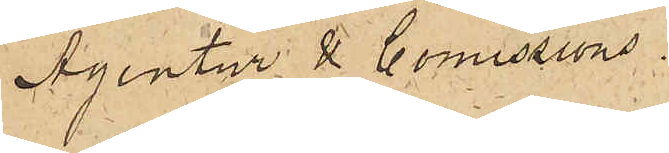Agentur & Comissions¬
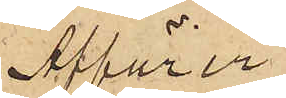Affärer
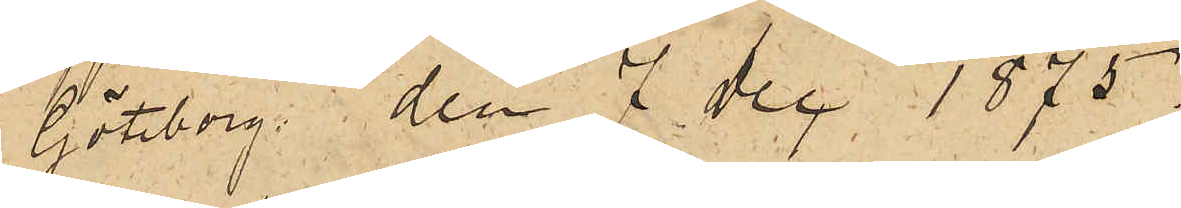Göteborg den 7 Dec 1875.
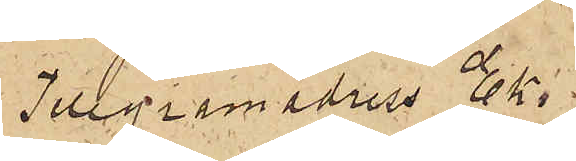Telegramadress Ek.
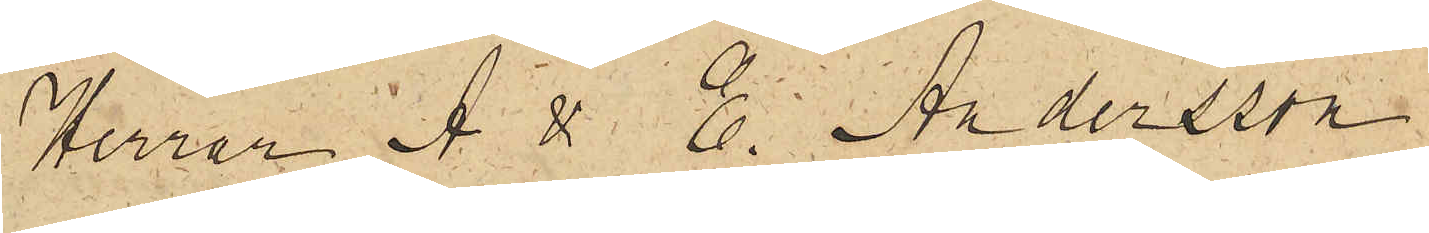Herrar A. & E  Andersson
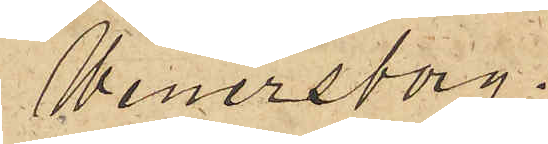Wenersborg.
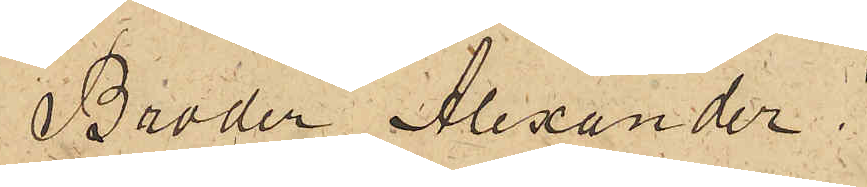Broder Alexander!
